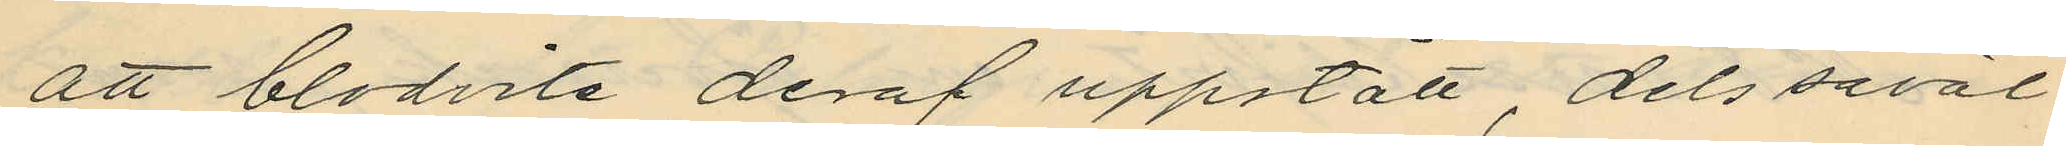att blodvite deraf uppstått, dels såväl
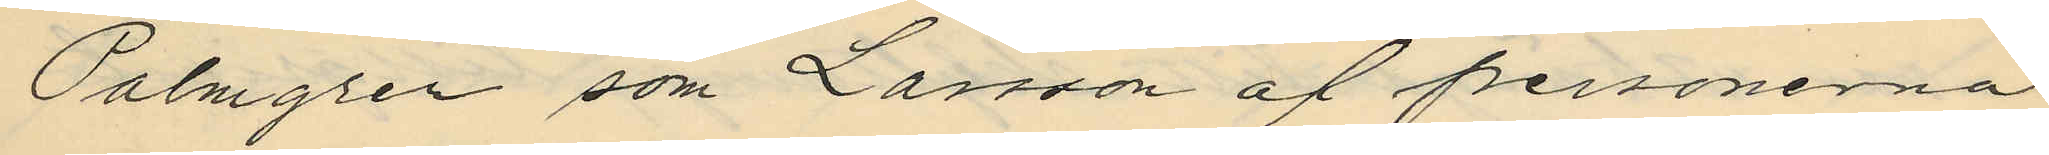Palmgren som Larsson af personerna
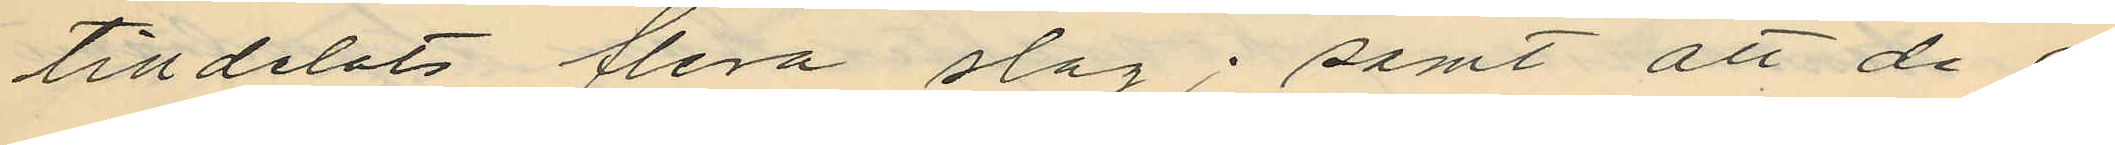tilldelats flera slag; samt att de o¬
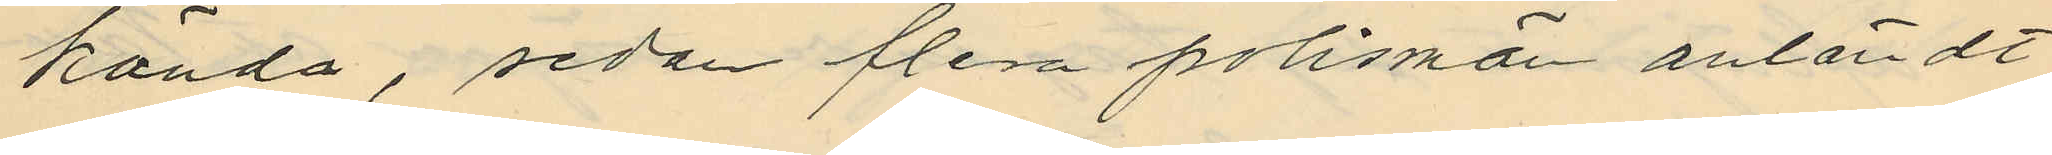kända, sedan flera polismän anländt
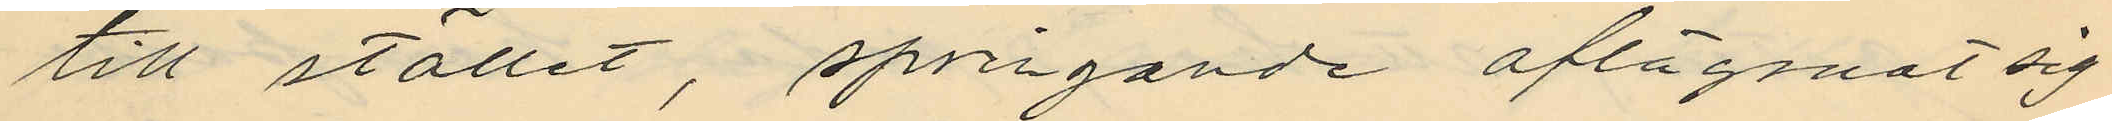till stället, springande aflägsnat sig
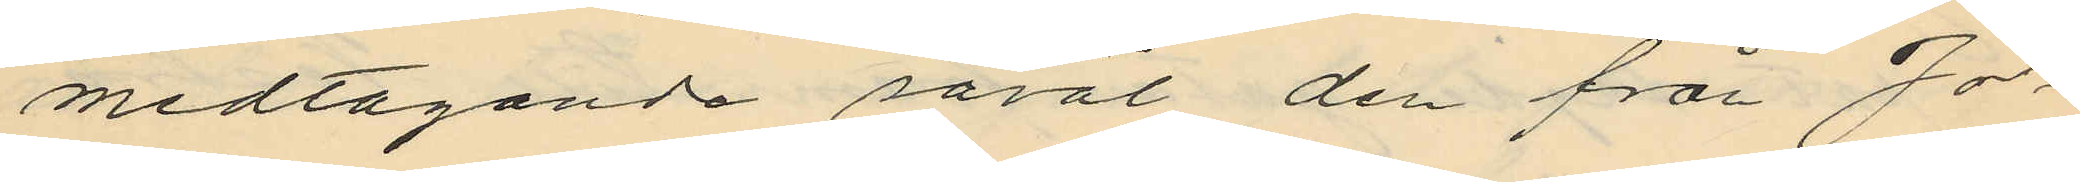medtagande såväl den från Jo¬
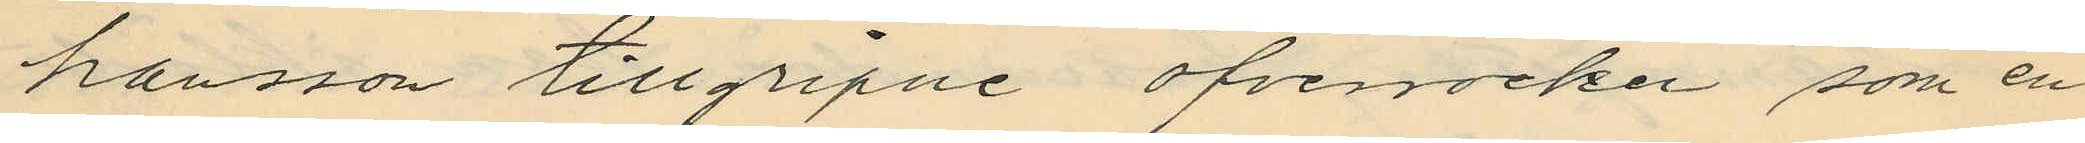hansson tillgripne öfverocken, som en
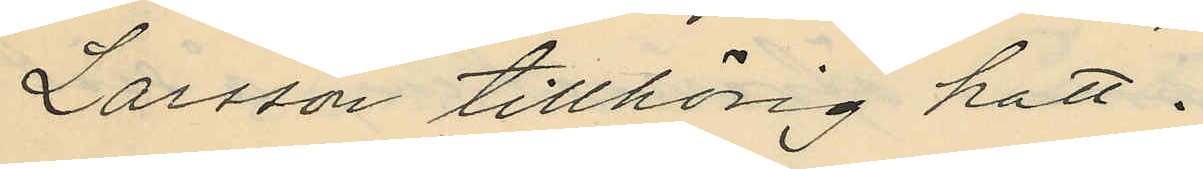Larsson tillhörig hatt.
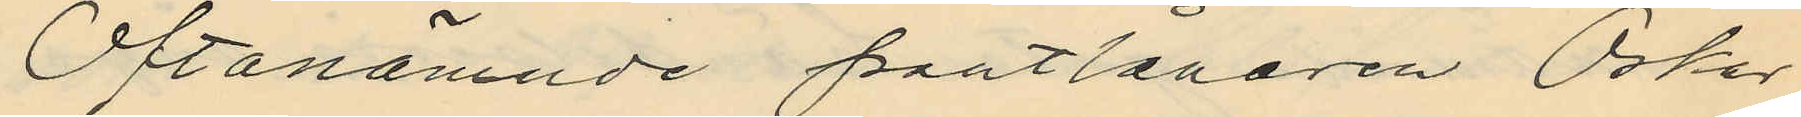Oftanämnde pantlånaren Oskar
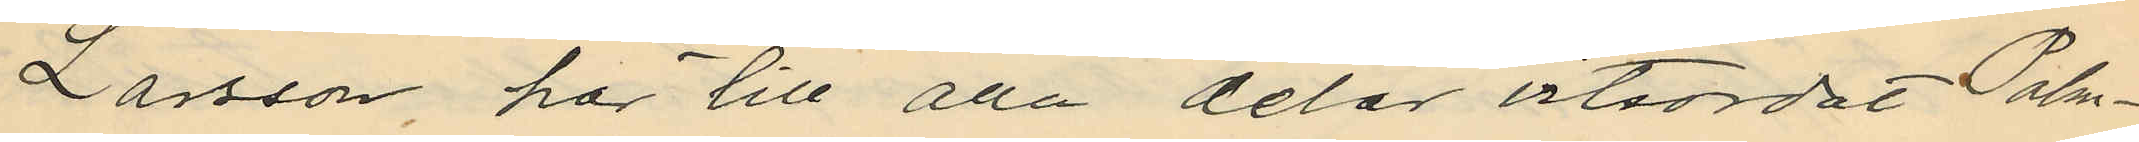Larsson, har till alla delar vitsordat Palm¬
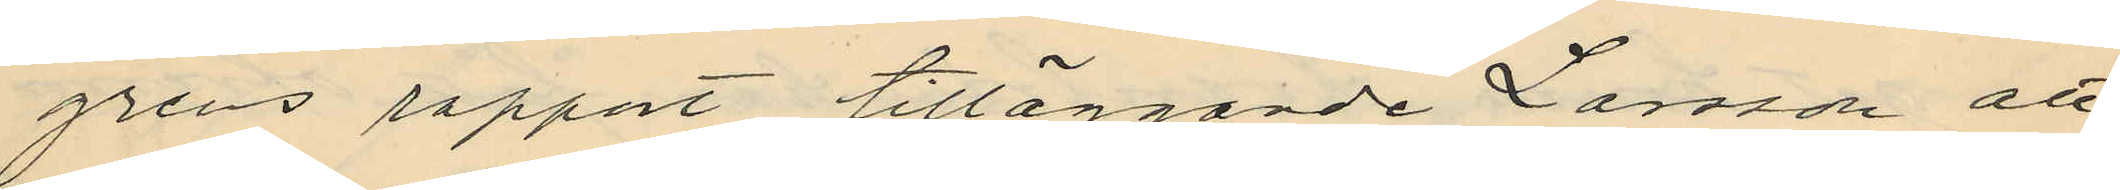grens rapport tilläggande Larsson att
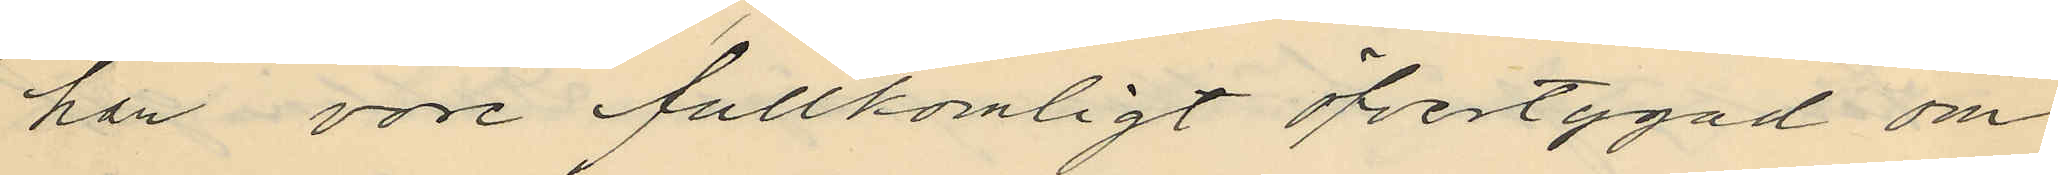han vore fullkomligt öfvertygad om
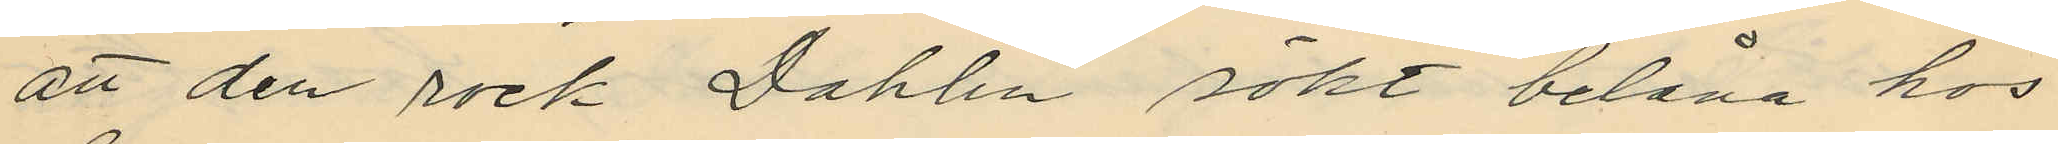att den rock Dahlin sökt belåna hos
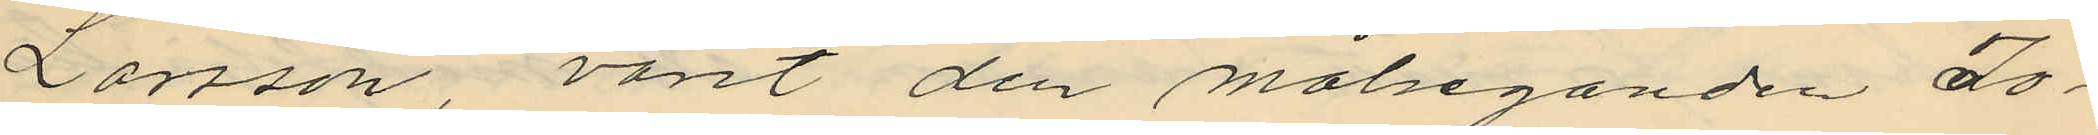Larsson, varit den målseganden Jo¬
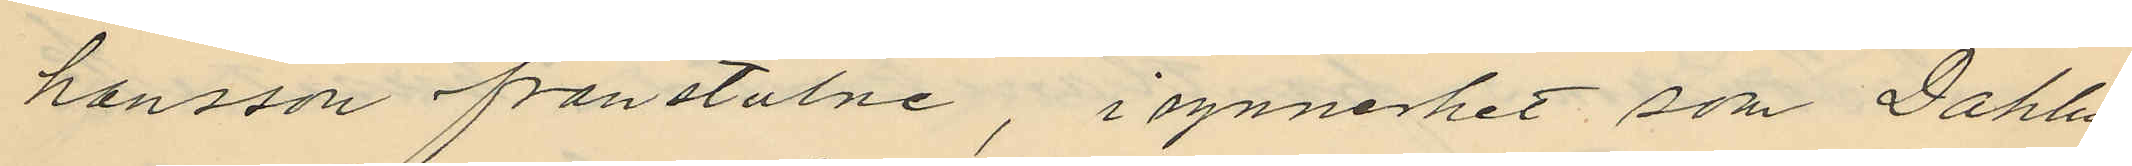hansson frånstulne, i synnerhet som Dahlin
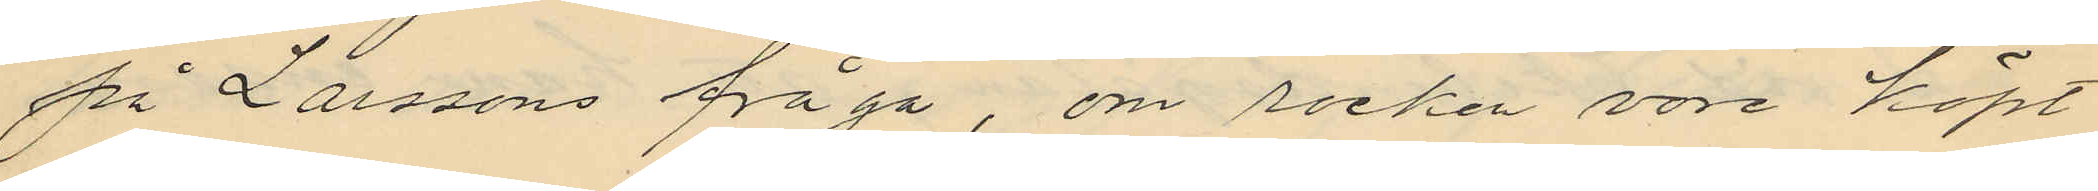på Larssons fråga, om rocken vore köpt
